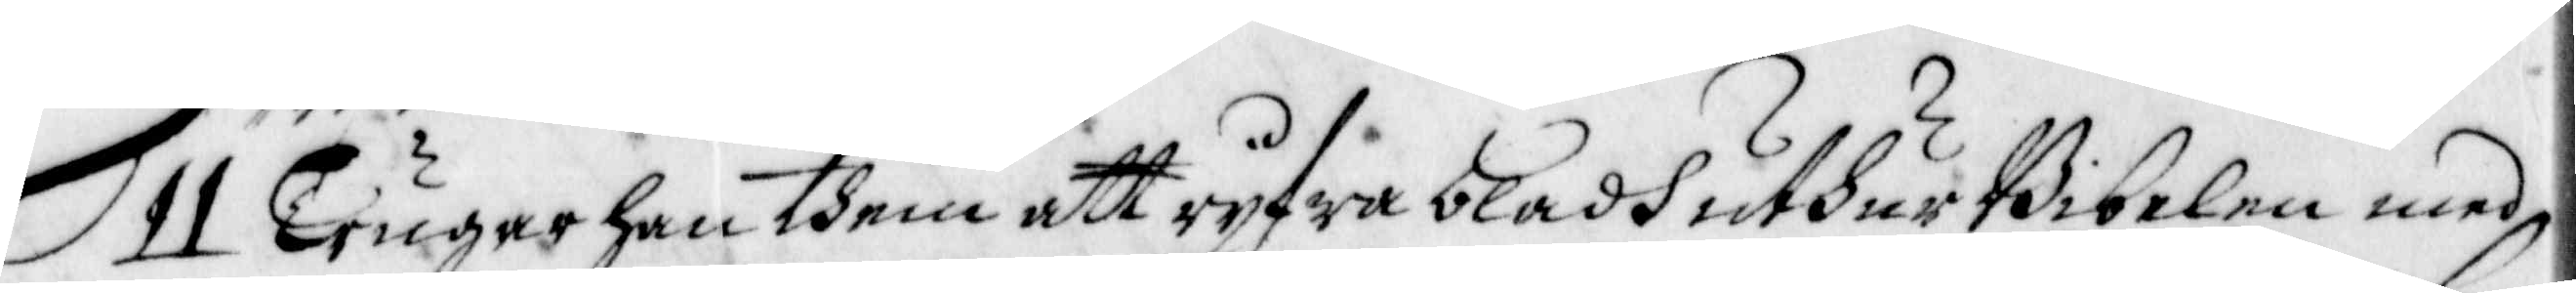11 Trugar han dhem att ryfwa bladh ufhur Bibelen med
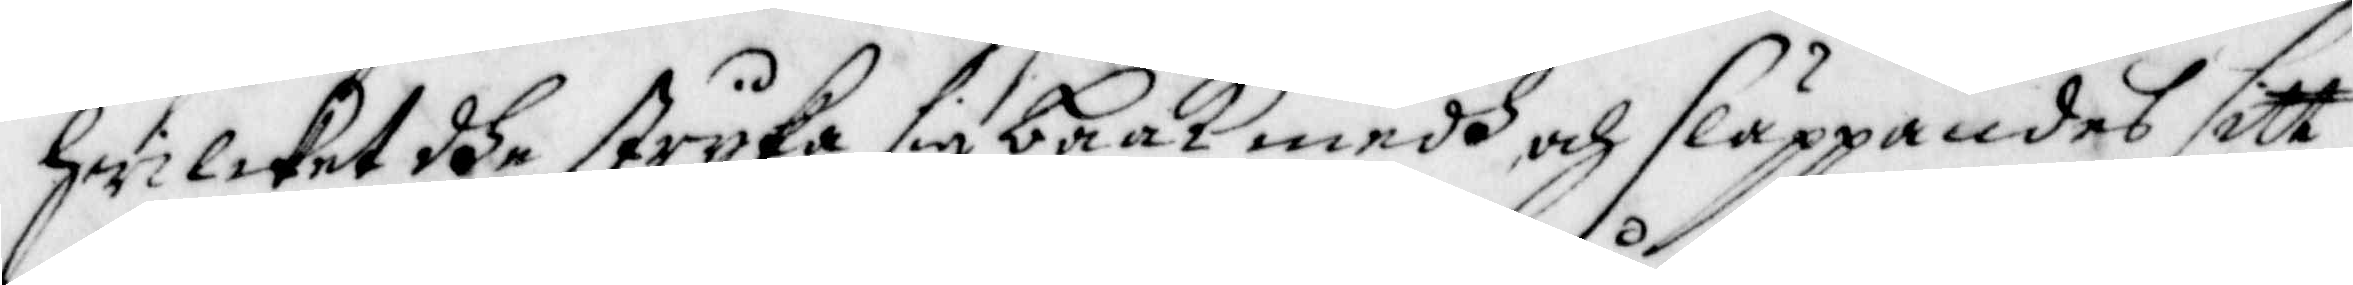hwilcket dhe stryka sig baak medh och släppandes sitt
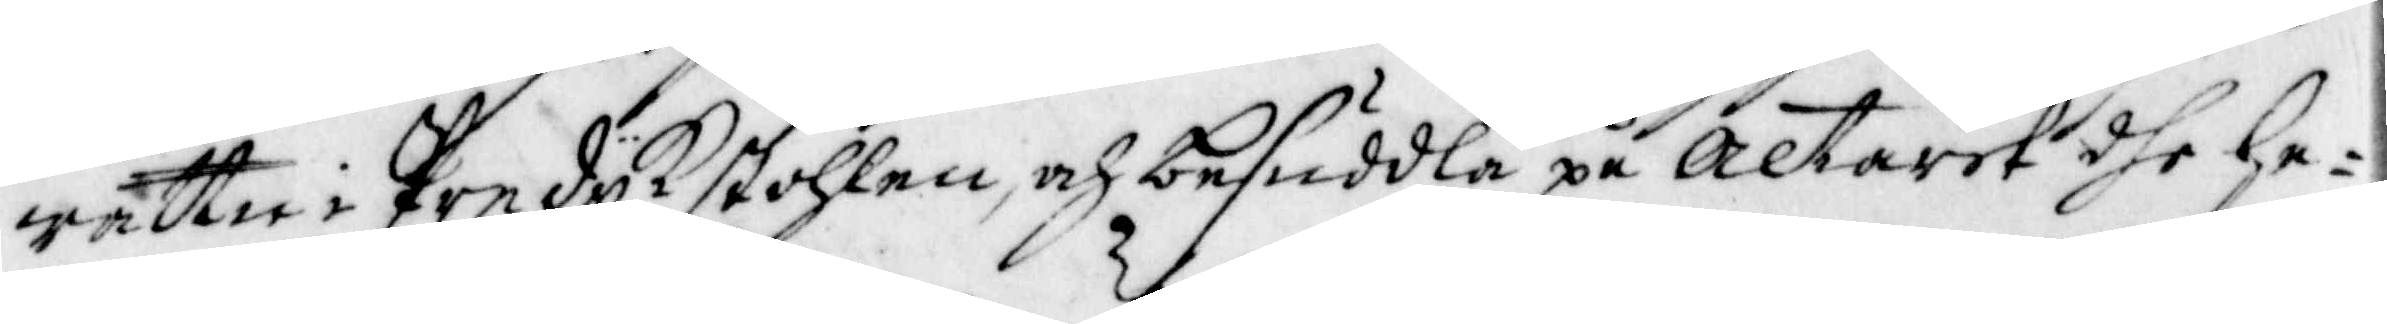wattn i Predyk stohlen, och besuddla på altaret dhe he¬
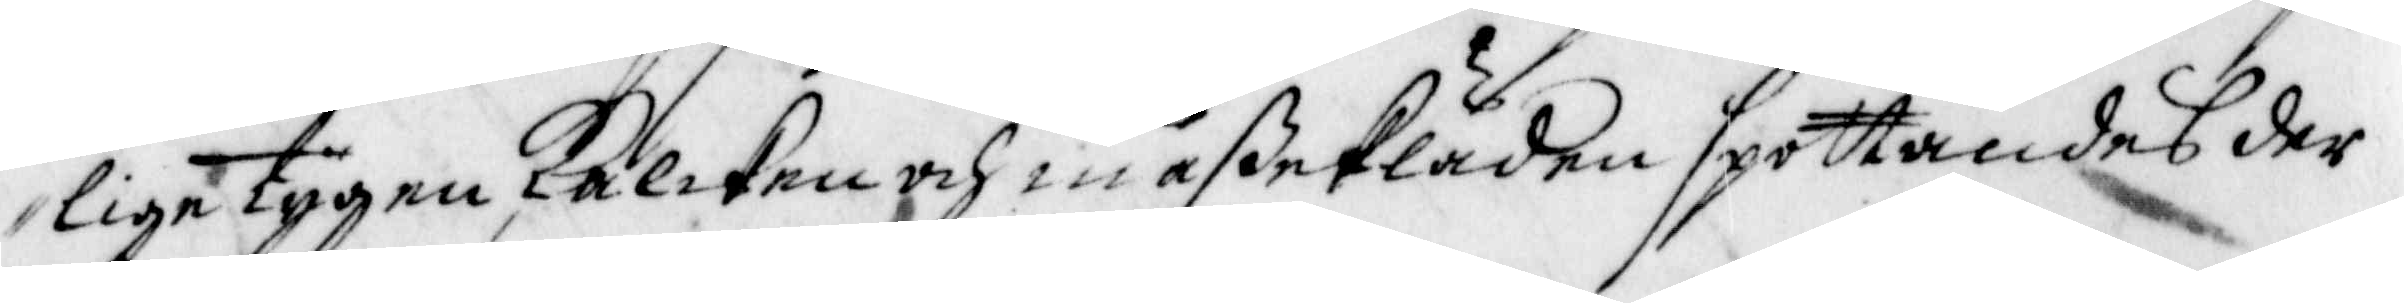lige tygen, Kalcken och mäßekläden spottandes der
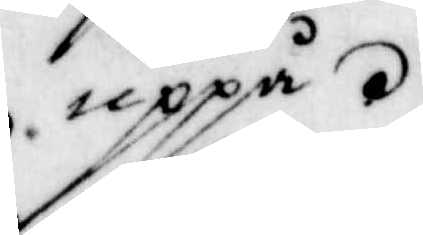uppå.
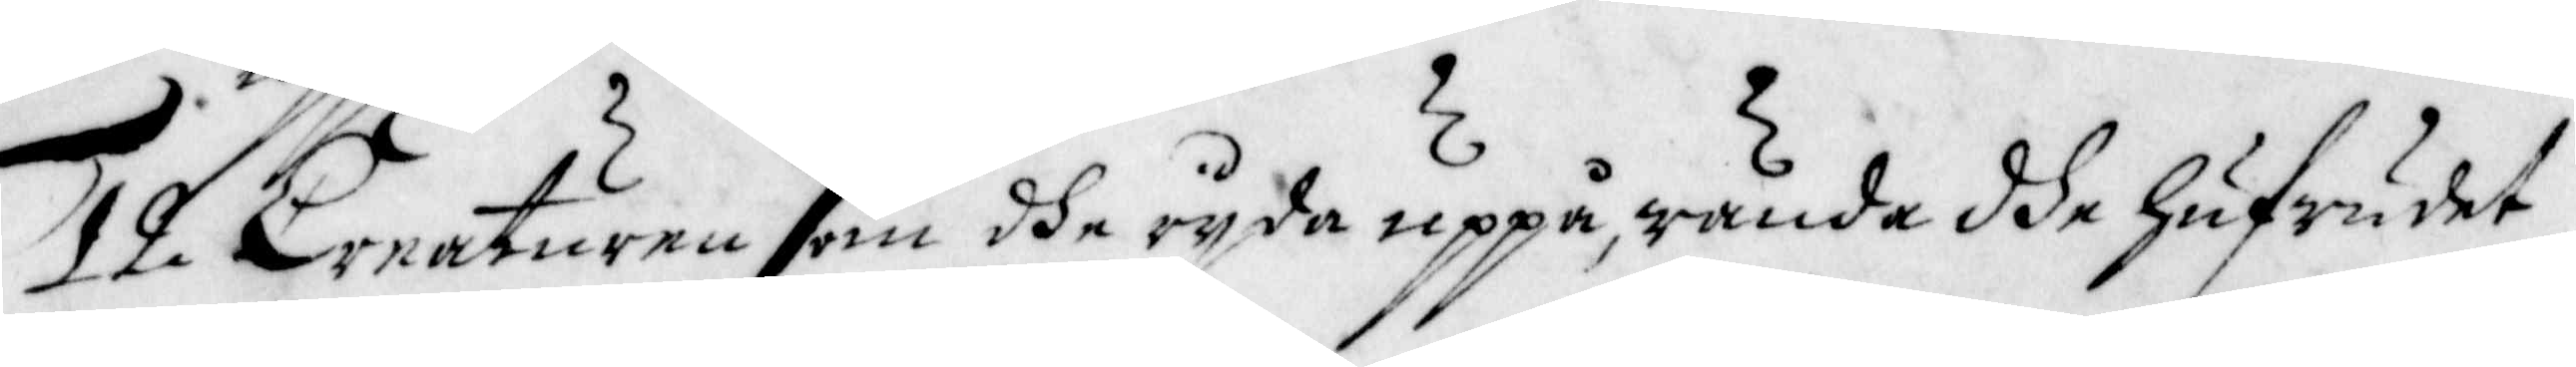12 Creaturen som dhe ryda uppå, wända dhe hufwudet
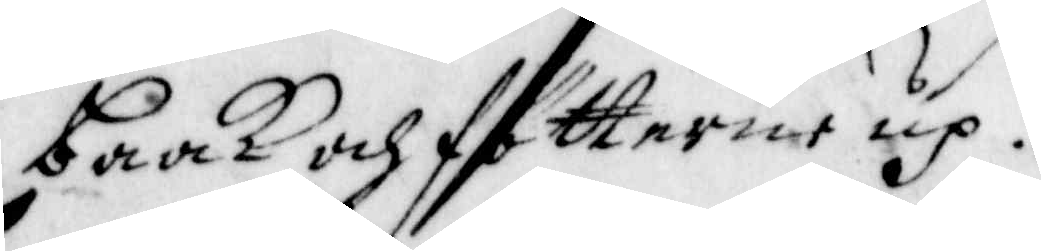baak och fötterne up.
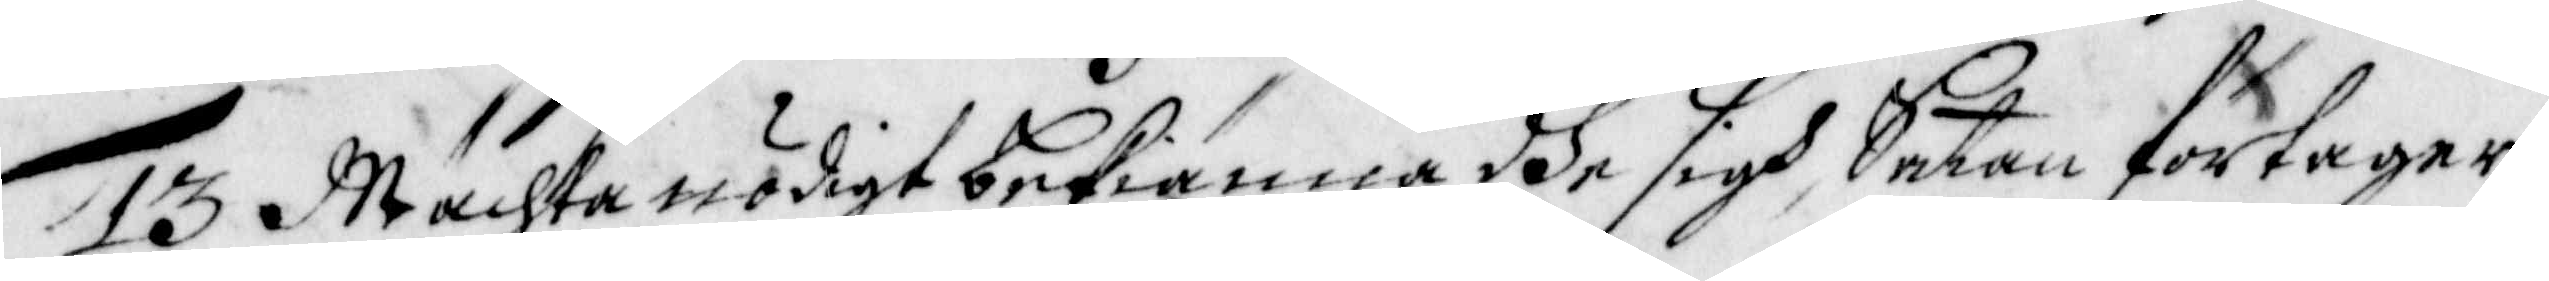13 Mächta nödigt bekiänna dhe sigh, Satan förtager
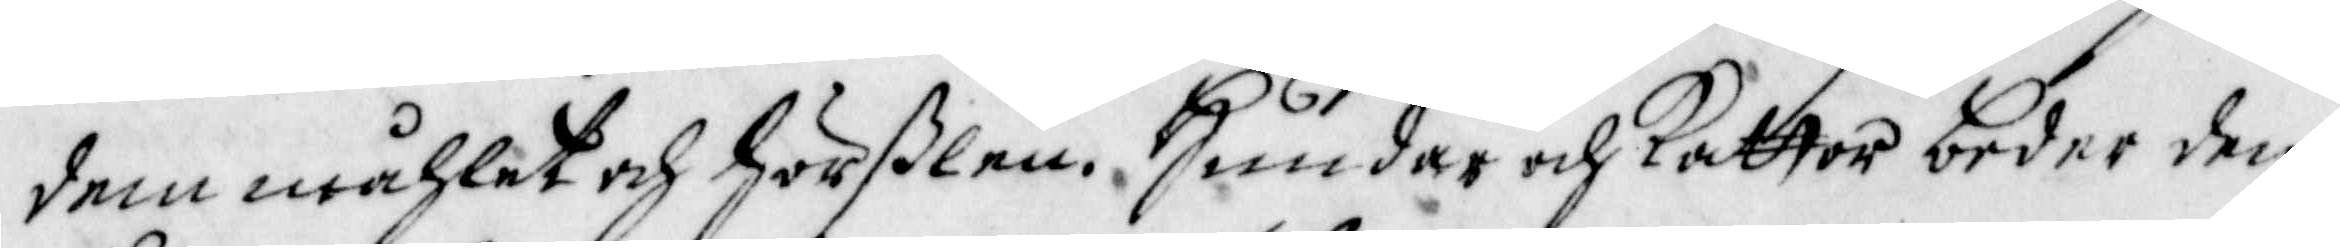dem måhlet och Hörßlen. Hundar och kattor beder den
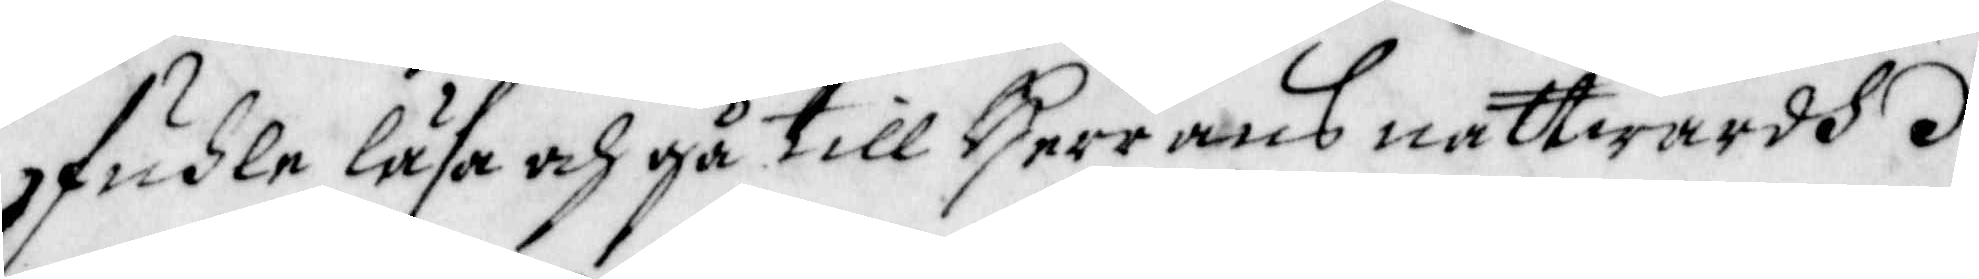fuhle läsa och gå till Herrans nattwardh.
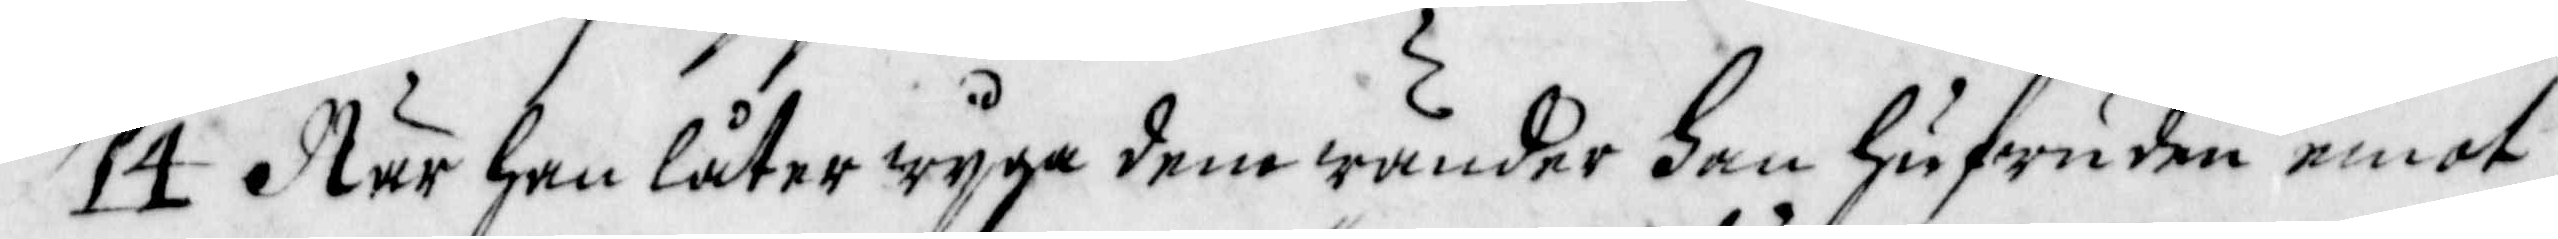14 När han låter wyga dem wänder han hufwuden emot
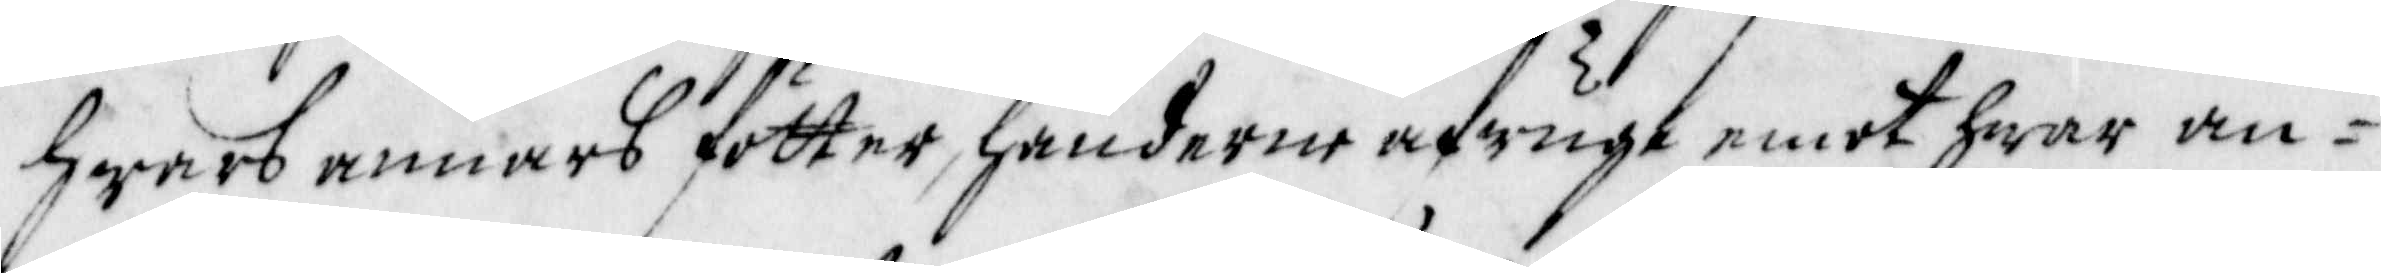hwars annars fötter, händerne afwugt emot hwar an-
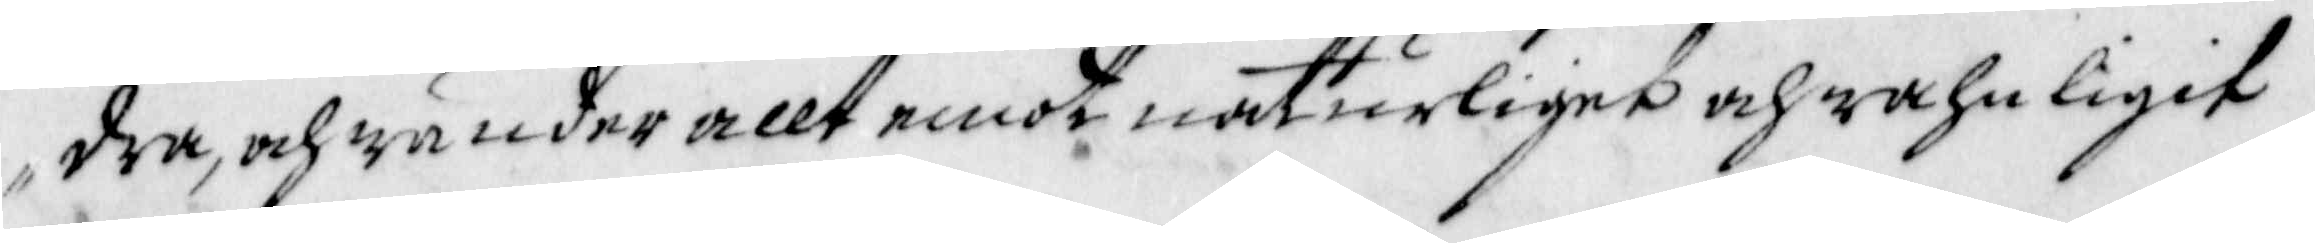dra, och wänder allt emot naturliget och wahnligit
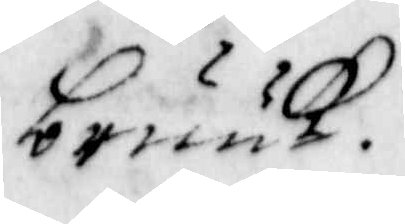bruuk.
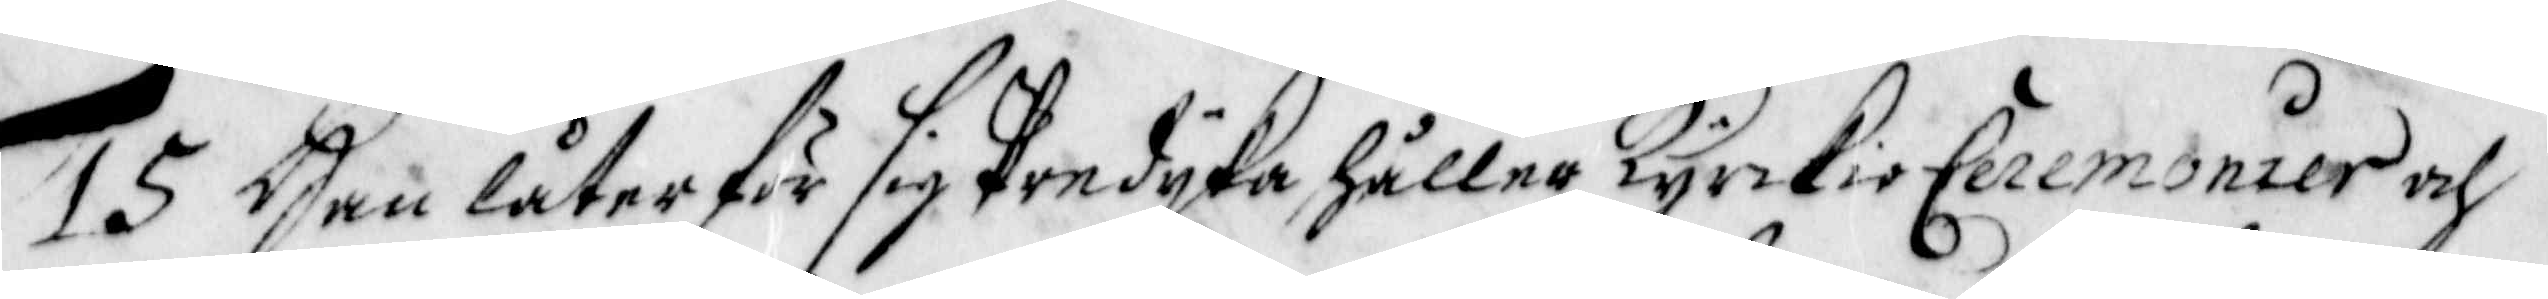15 Han låter för sig Predyka, håller Kyrckio Ceremonier och
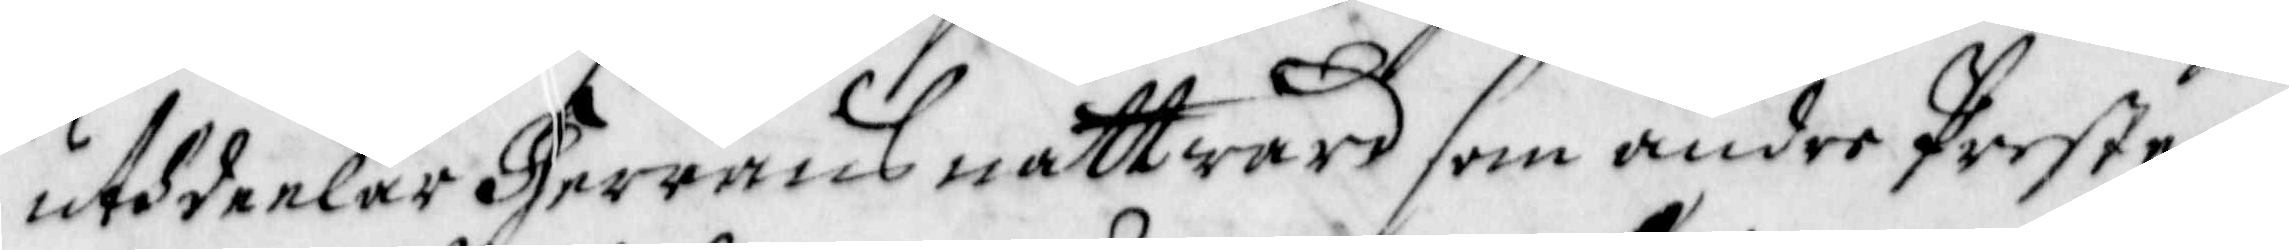uthdeelar Herrans nattward som andre Peester
